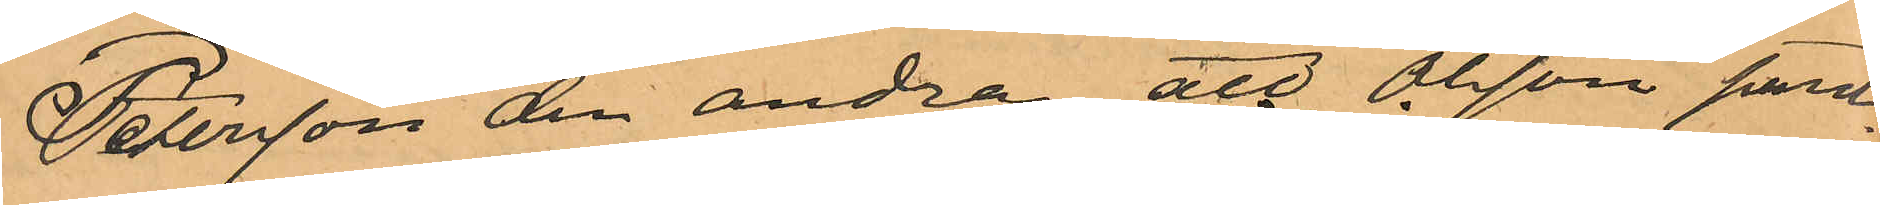Petersson den andra; att Olsson pant¬
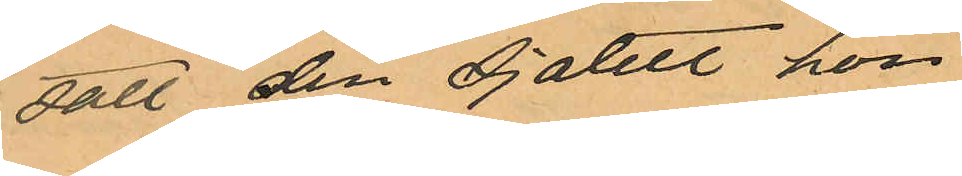satt den sjalett hon
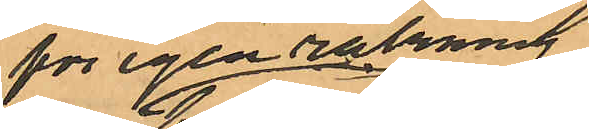för egen räkning
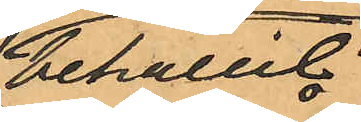behållit
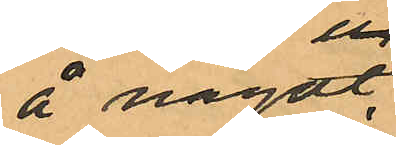å något
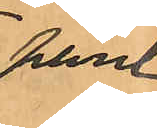samt
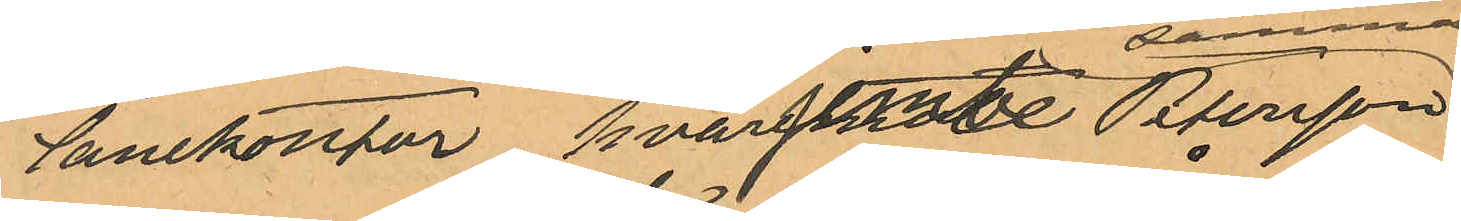lånekontor, hvarjemte Petersson
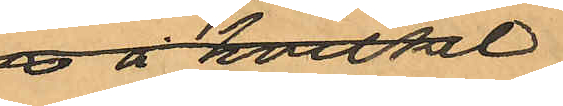samma dag
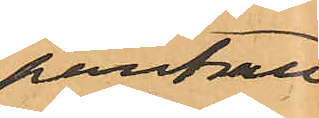pantsatt
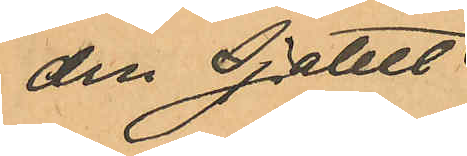den sjalett
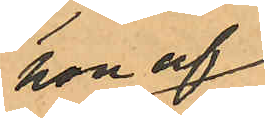hon af
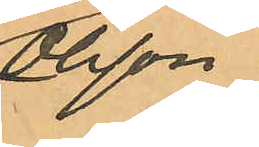Olsson
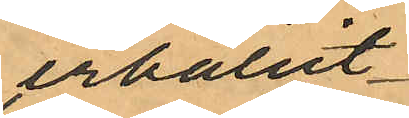erhållit
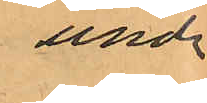under
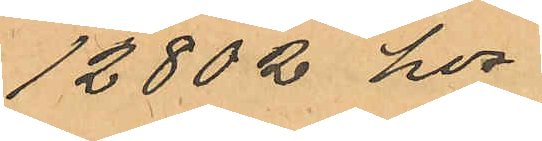12802 hos
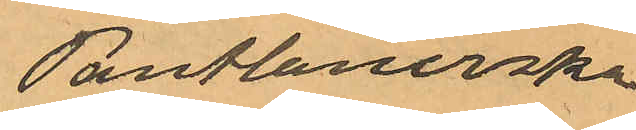Pantlånerska
